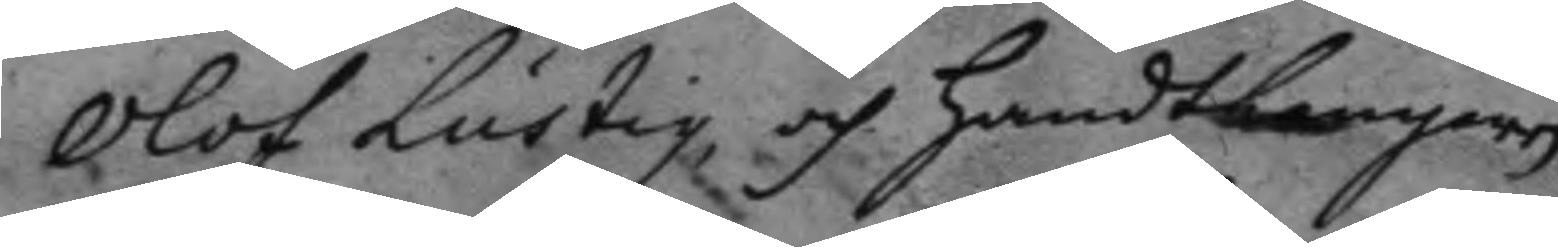Olof Lustig och handtlangaren
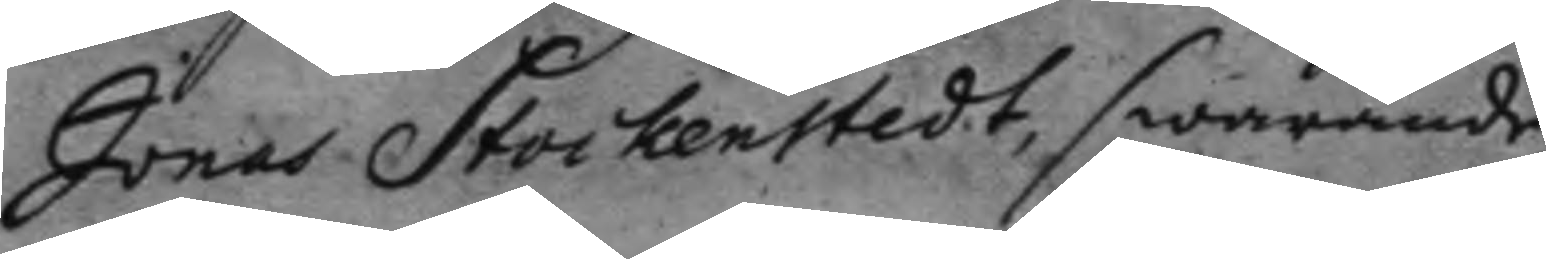Jonas Stockenstedt, swarande,
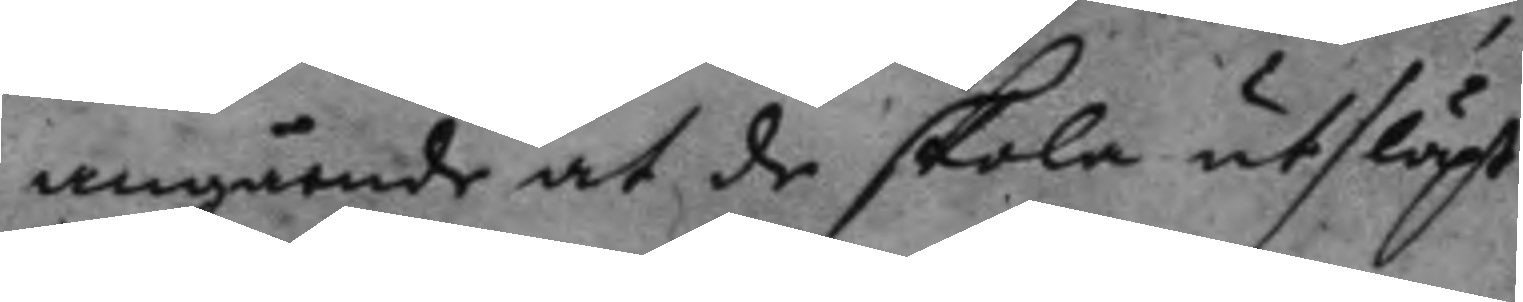angående at de skola utsläpt
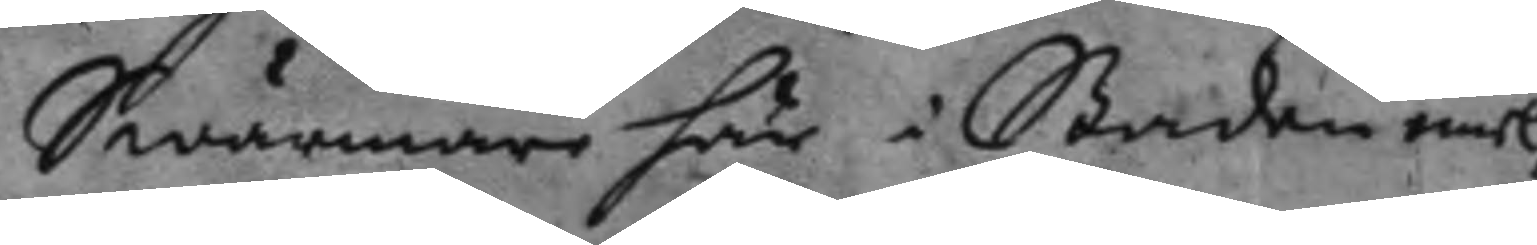Swärmare här i Staden emel¬
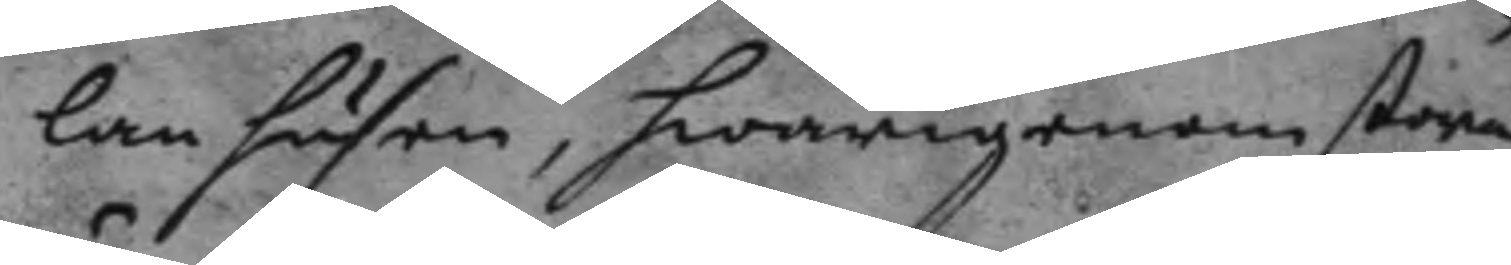lan husen, hwarigenom stora
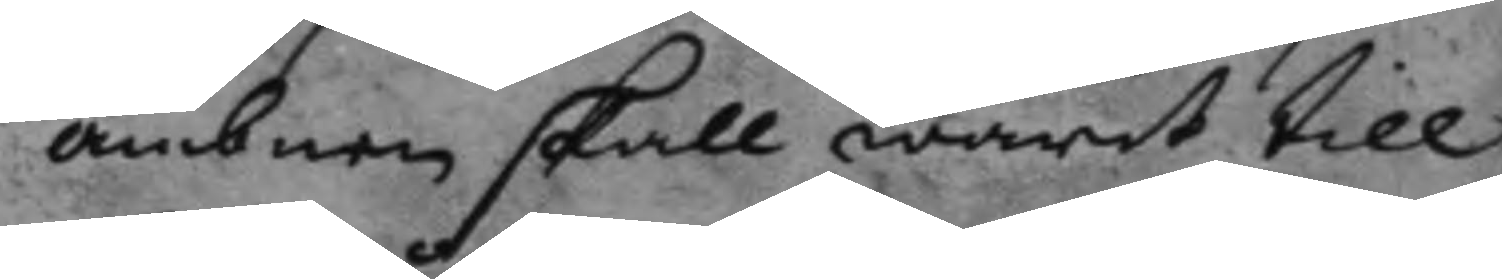ämbnen skall warit till
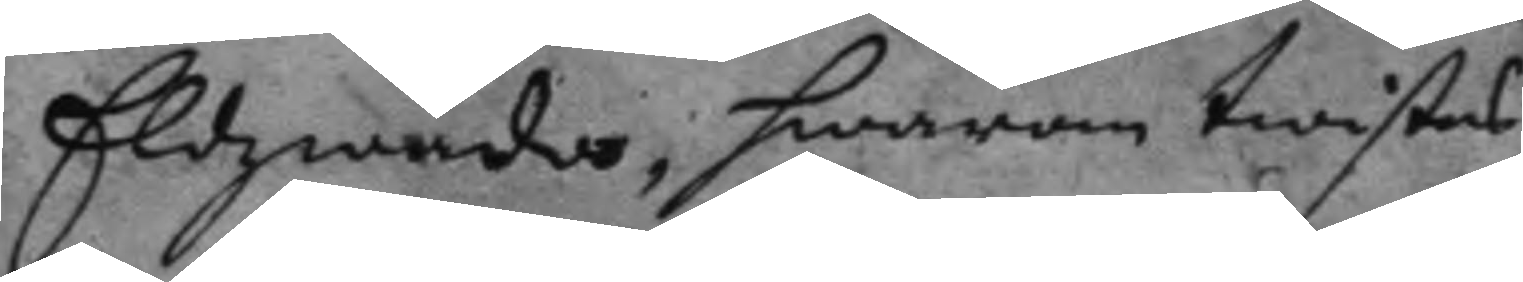Eldzwåda, hwarom twistas,
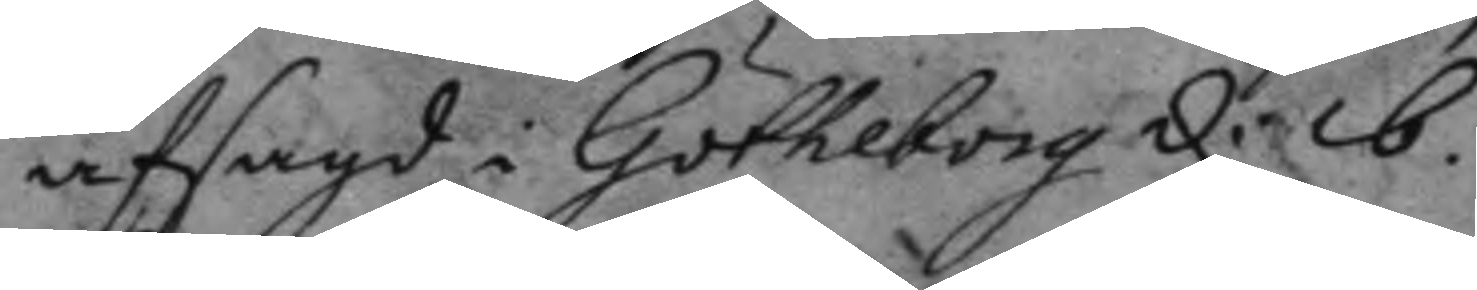afsagd i Götheborg d: 16
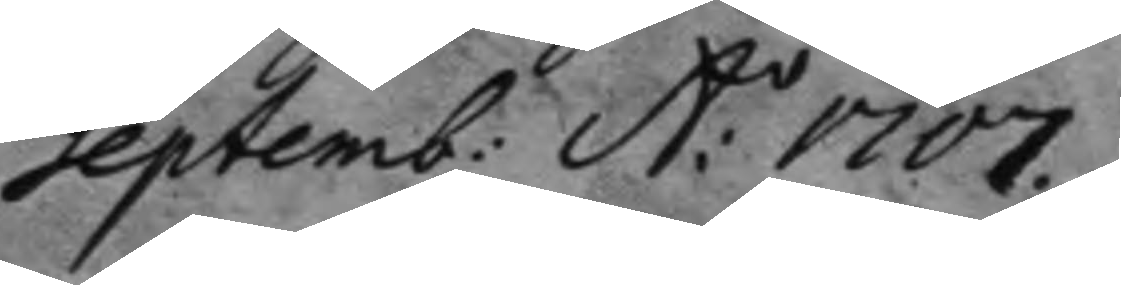Septemb: A:o 1707.
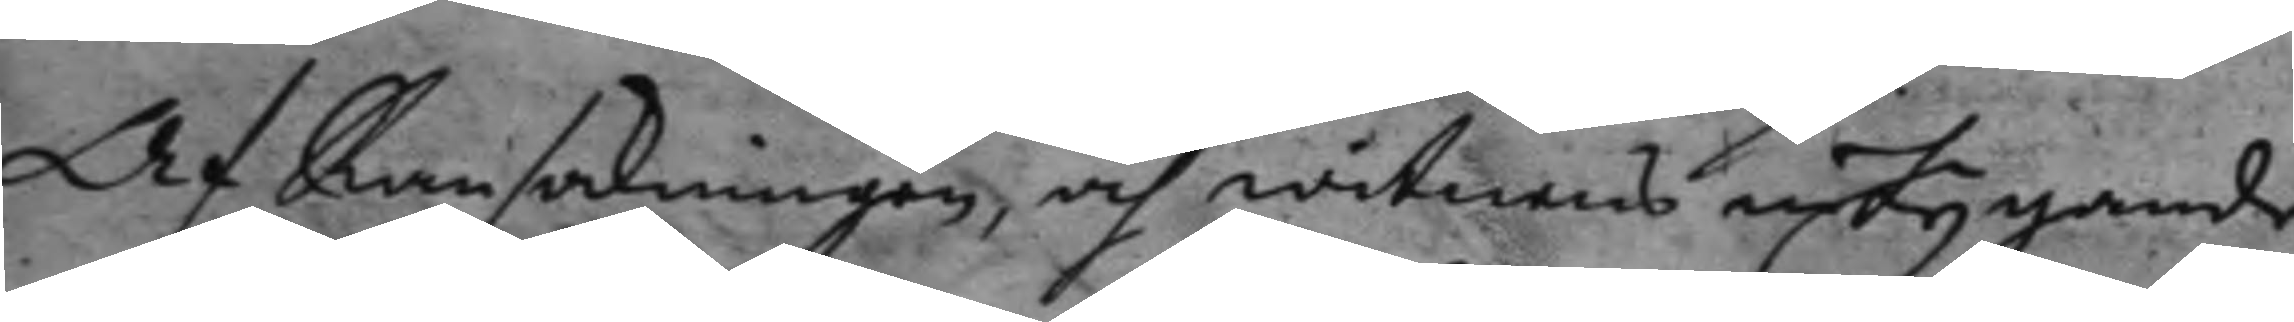Af Ransakningen, och witnens intygande
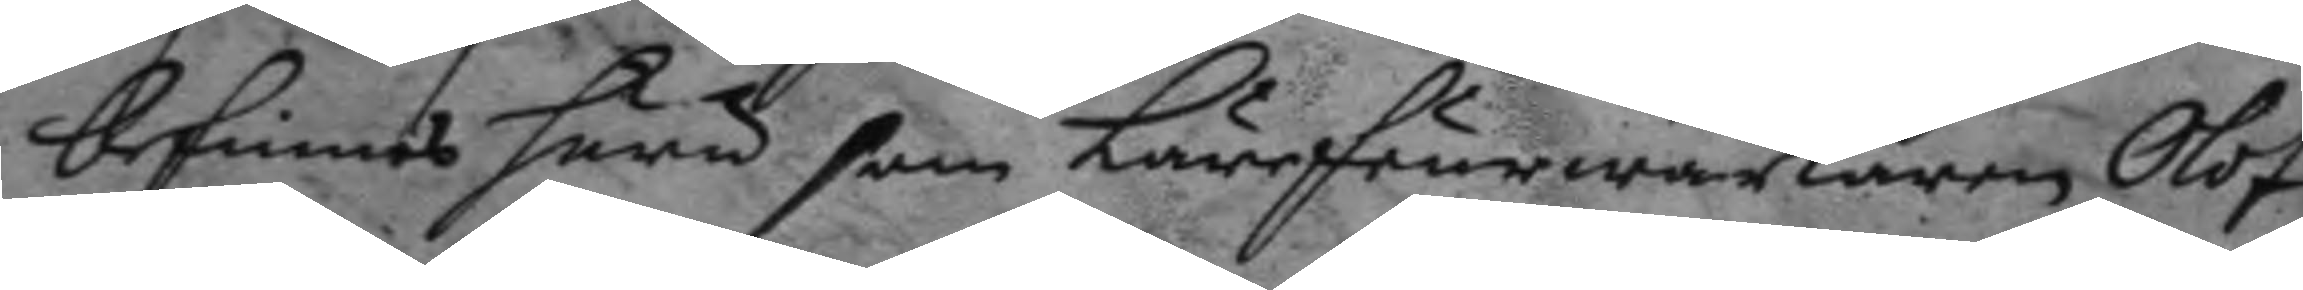befinnes huru som Lärfeurwärkaren Olof
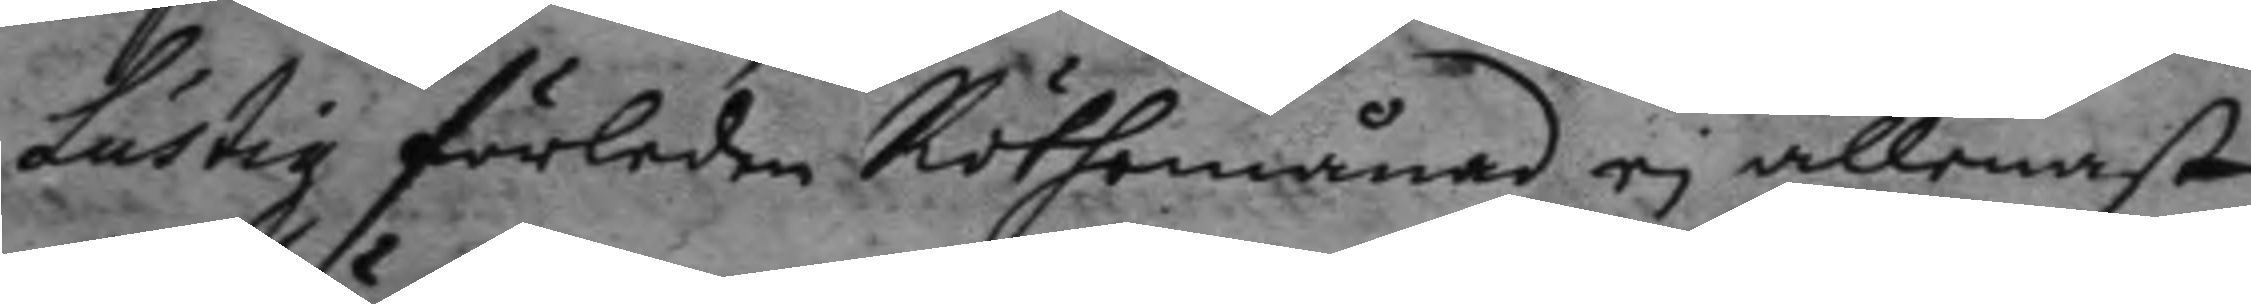Lustig förleden Röthemåad ei allenast
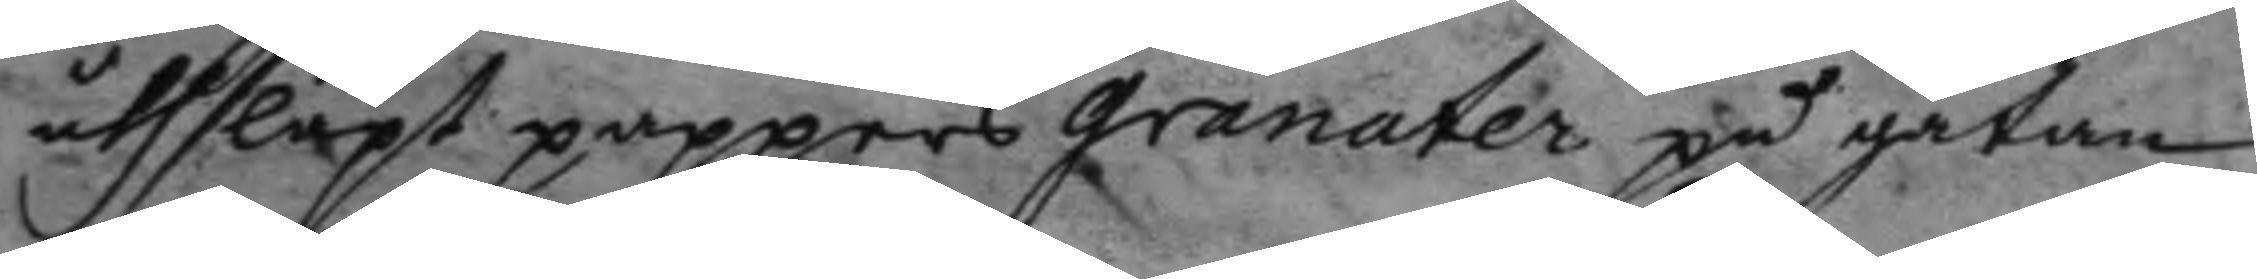uthsläpt pappers granater på gatan
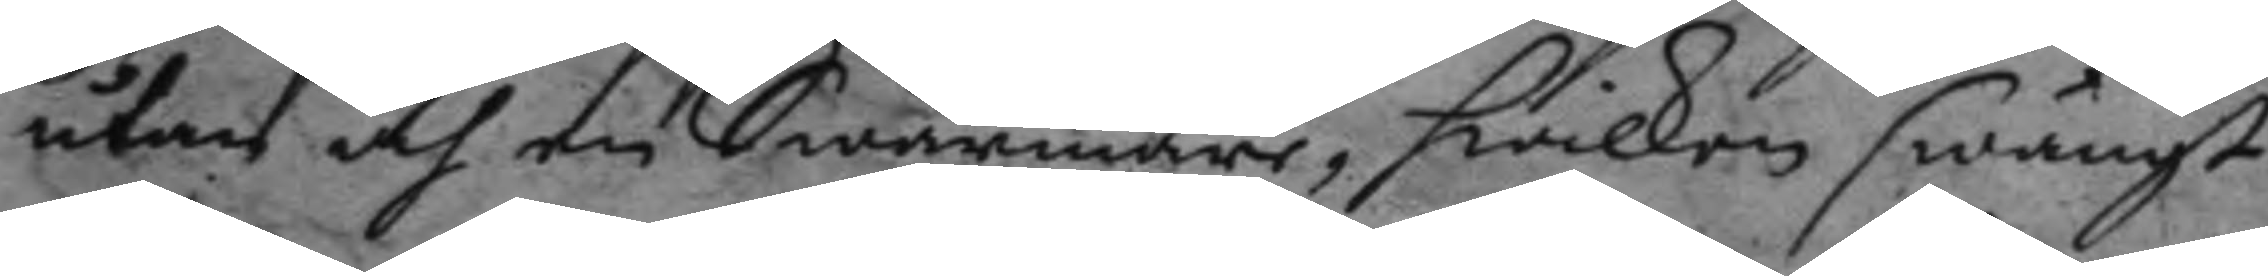utan och en Swärmare, hwilken swängt
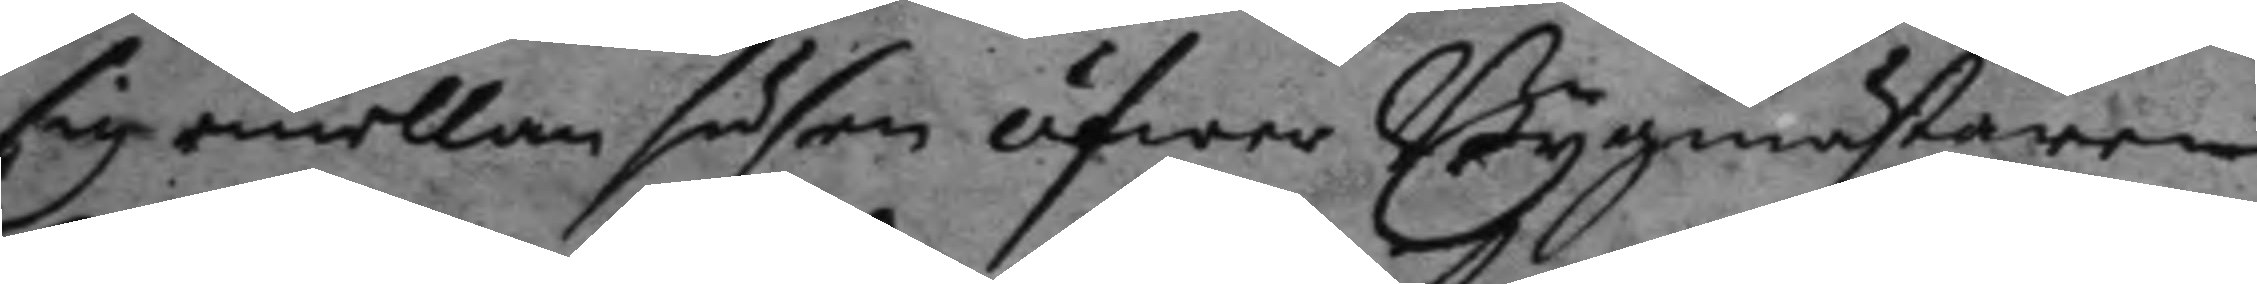sig emellan husen öfwer Byggmästaren
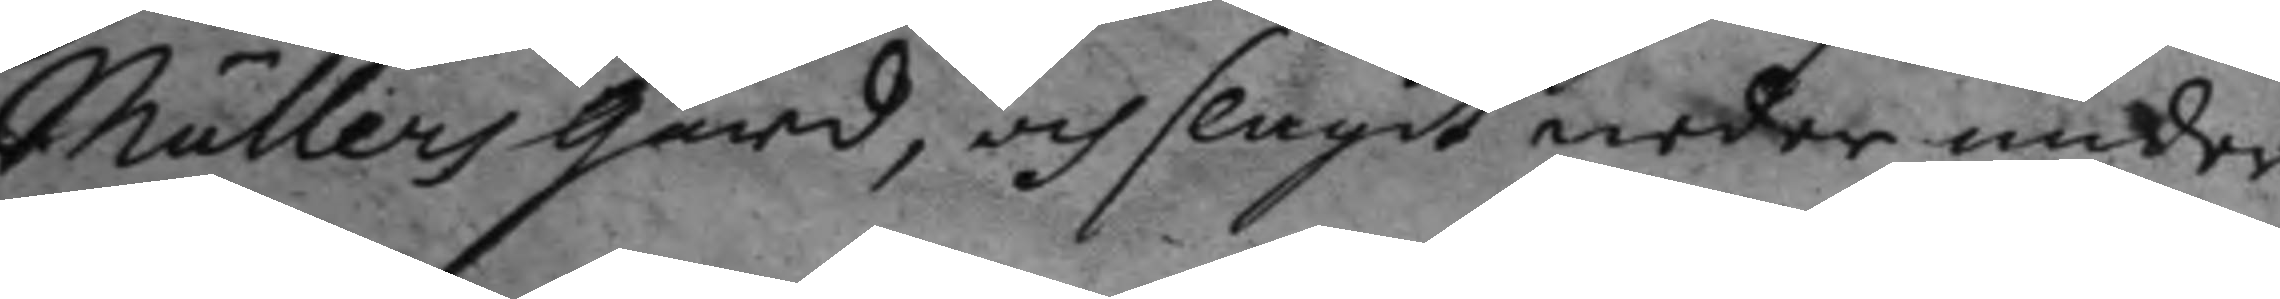Mullers gård, och slagit neder under
